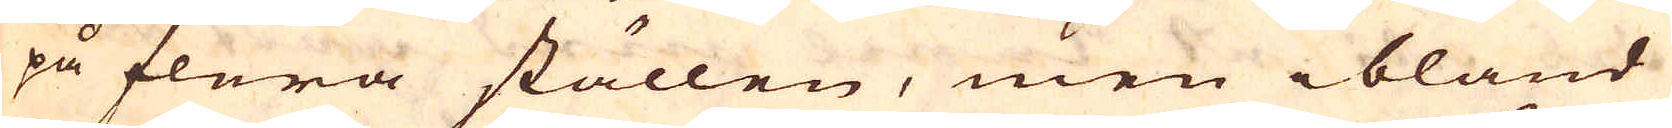på flera ställen, men ibland
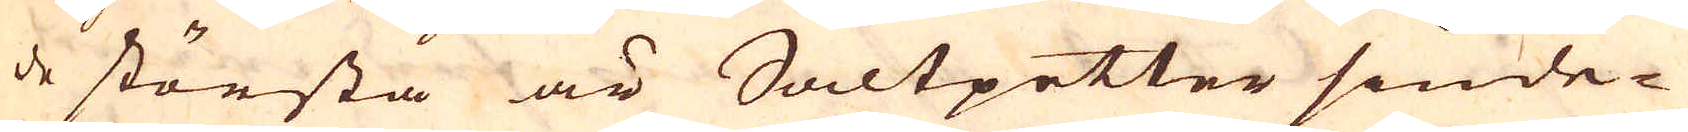de största är Saltpetter siude-
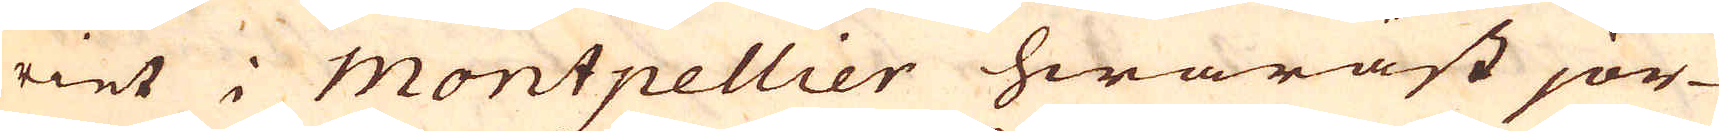riet i Montpellier hwaräst jor-
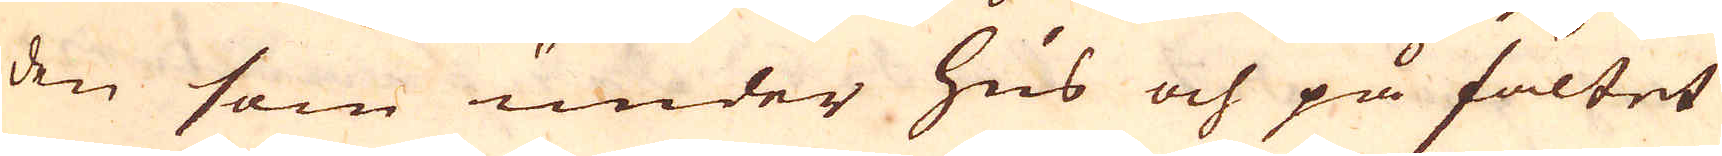den som under hus och på fältet
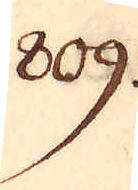809.
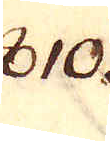810.
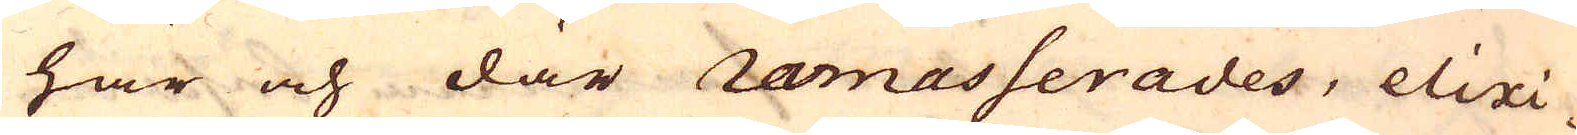här och där ramasserades, elixi-
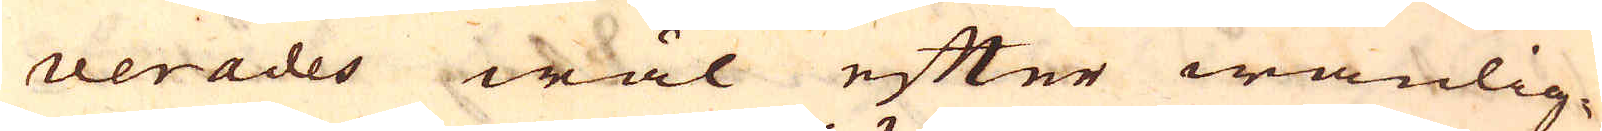verades wäl efter wanlig-
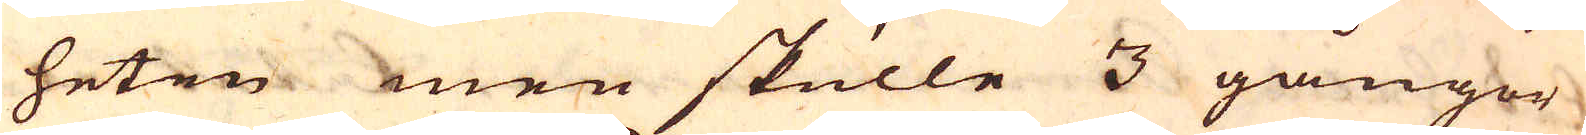heten men skulle 3 gångor
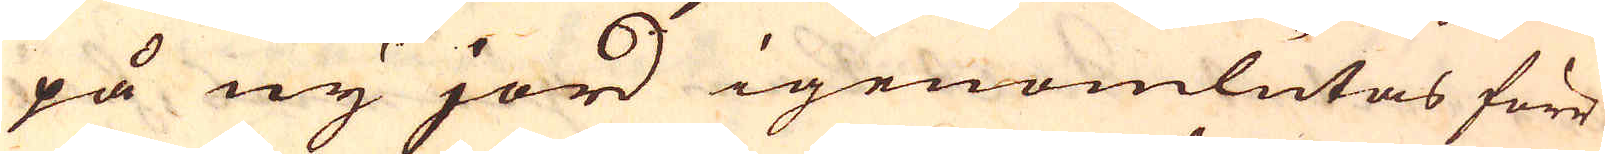på ny jord igenomlutas förr
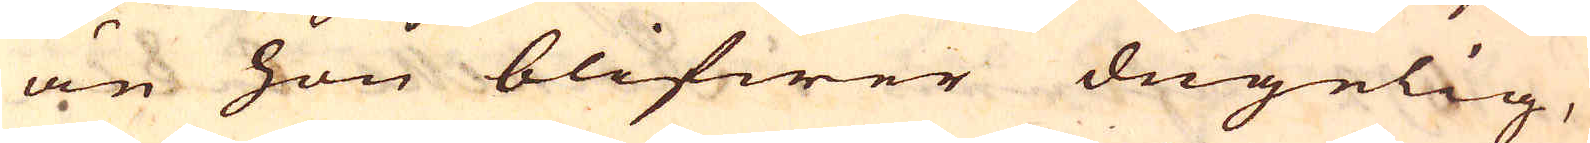än hon blifwer dugelig,
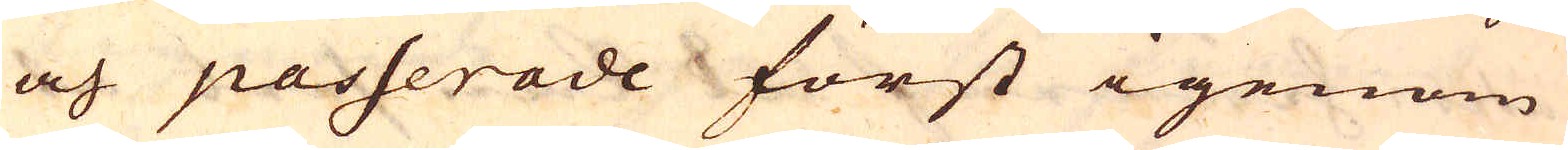och passerade först igenom
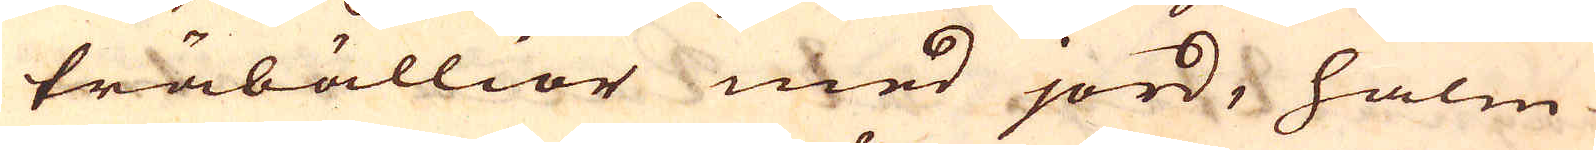träbällior med jord, halm
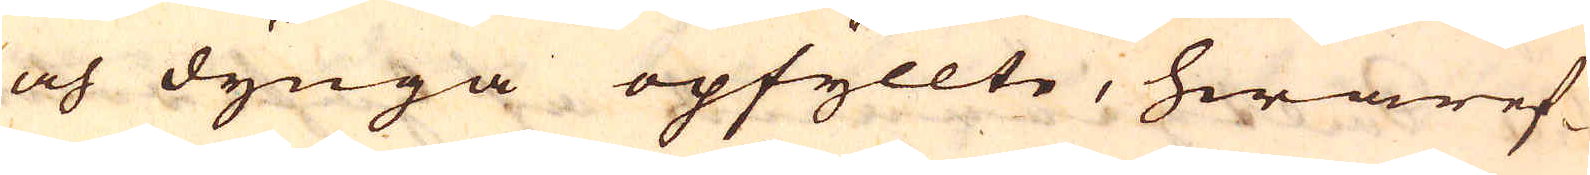och dynga opfyllte, hwaref-
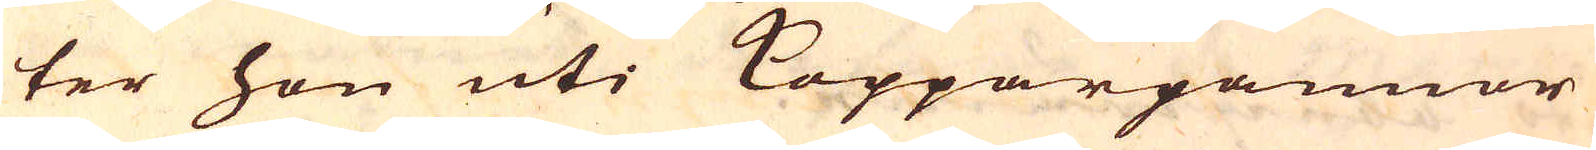ter hon uti Kopparpannor
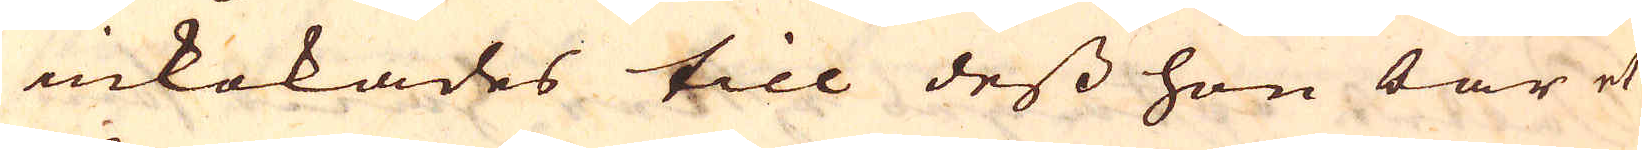inkokades till dess hon bar et
